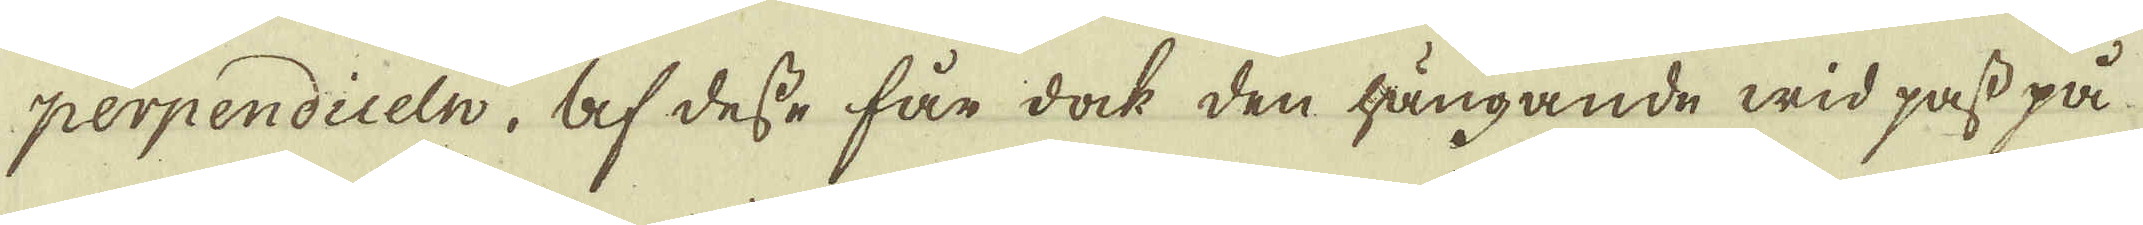perpendiceln, af desse får dock den hängande wid pass på
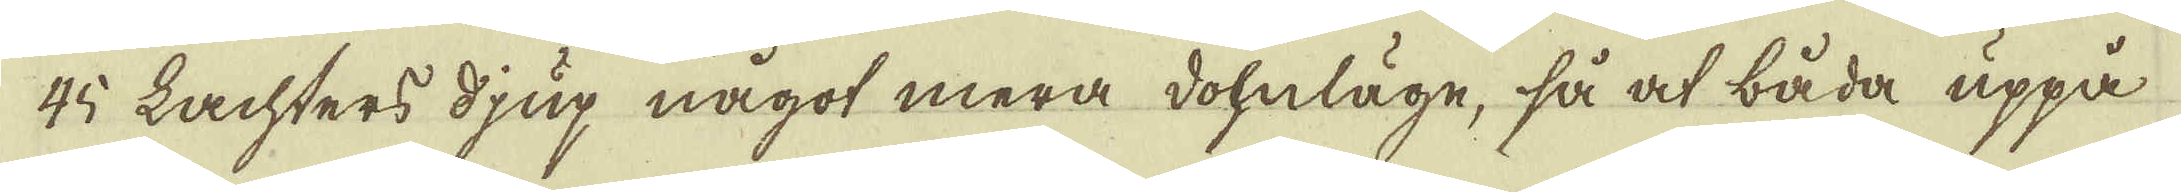45 Lachters djup något mera dohnläge, så at båda uppå
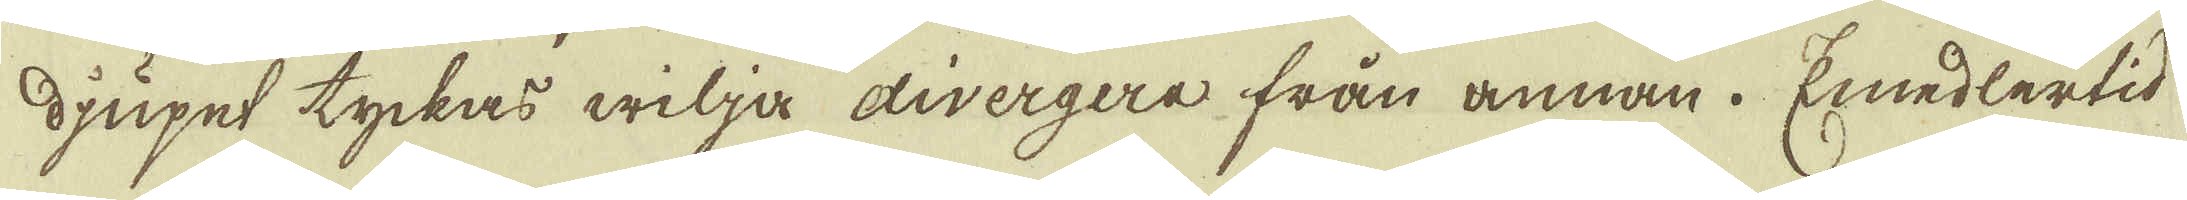djupet tyckas wilja divergera från annan. Emedlertid
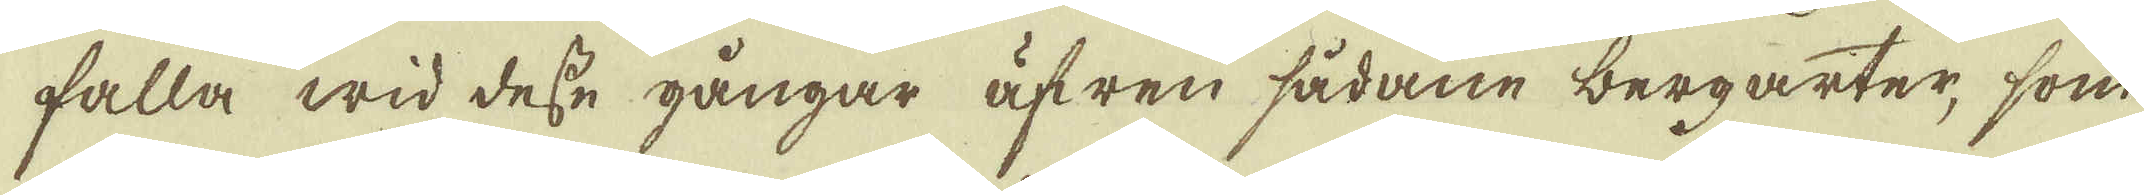falla wid desse gångar äfwen sådane bergarter, som
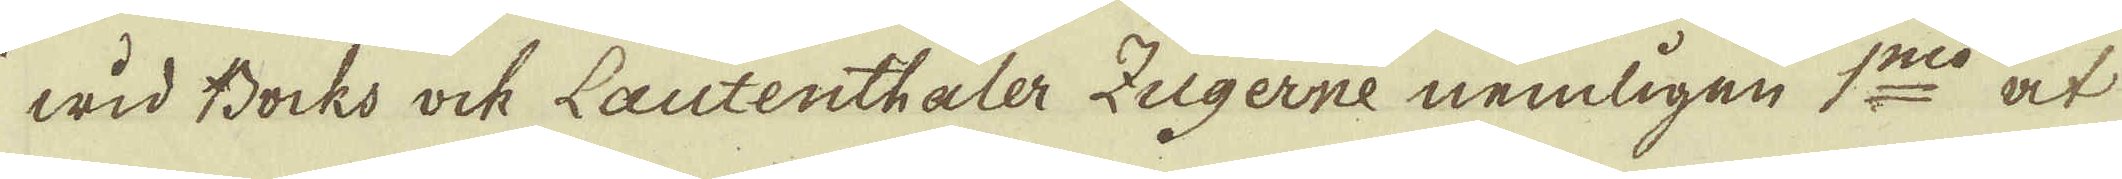wid Bocks ock Lautenthaler Zugerne nemligen 1:mo at
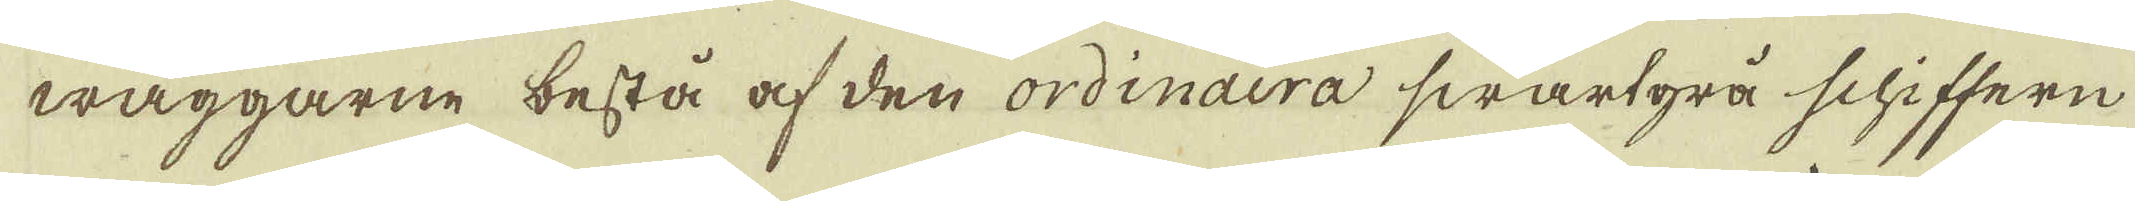wäggarne bestå af den ordinaira swartgrå schiffern
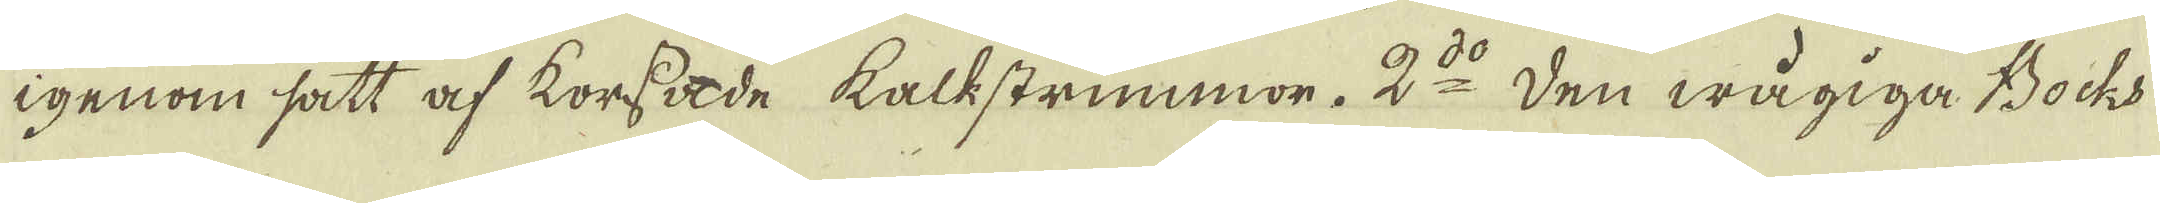igenom satt af korssade kalkstrimmor. 2:do Den wågiga Bocks
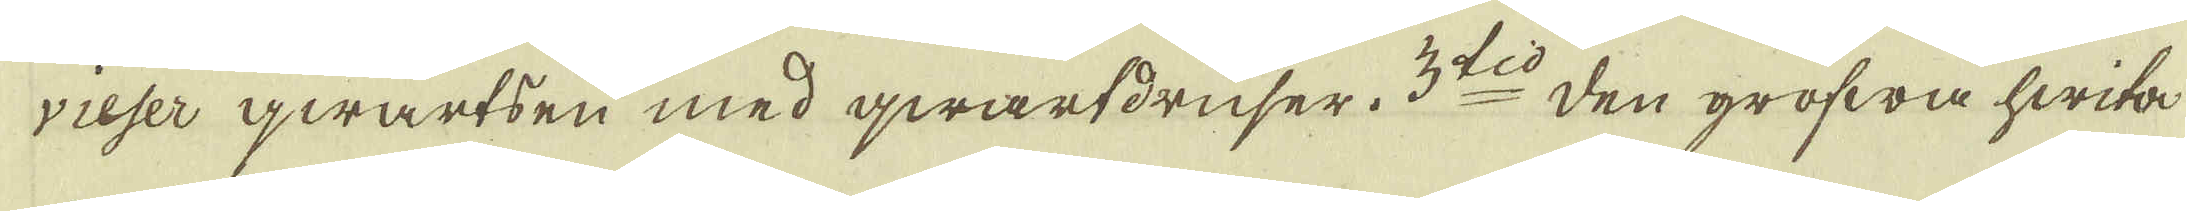vieser qwartsen med qwartdruser. 3:tio den grofwa hwita
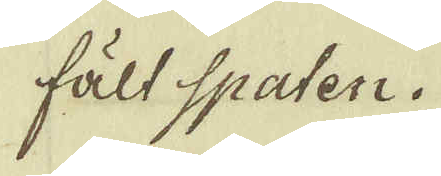fält spaten.
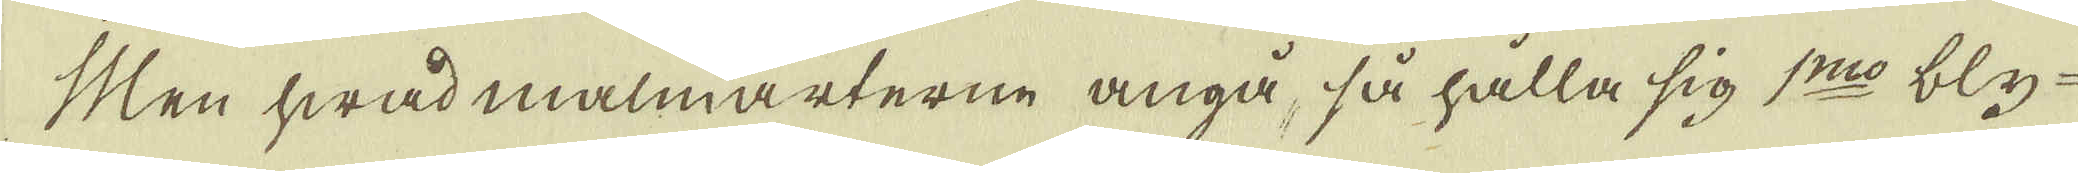Men hwad malmarterne angå, så hålla sig 1:mo bly-
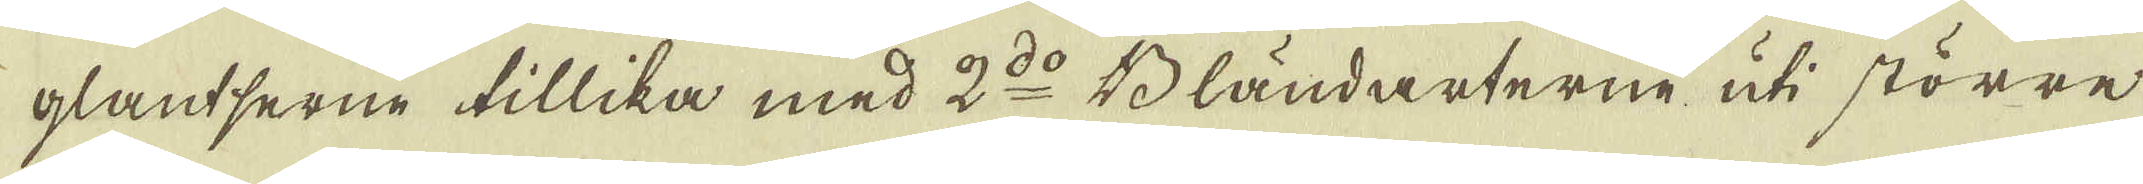glantserne tillika med 2:do Bländarterne uti större
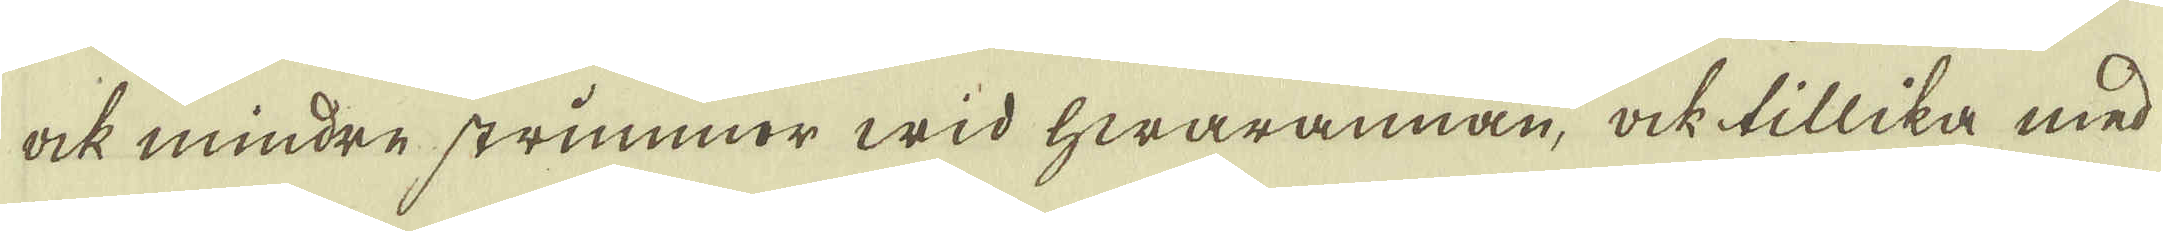ock mindre strimmor wid hwarannan, ock tillika med
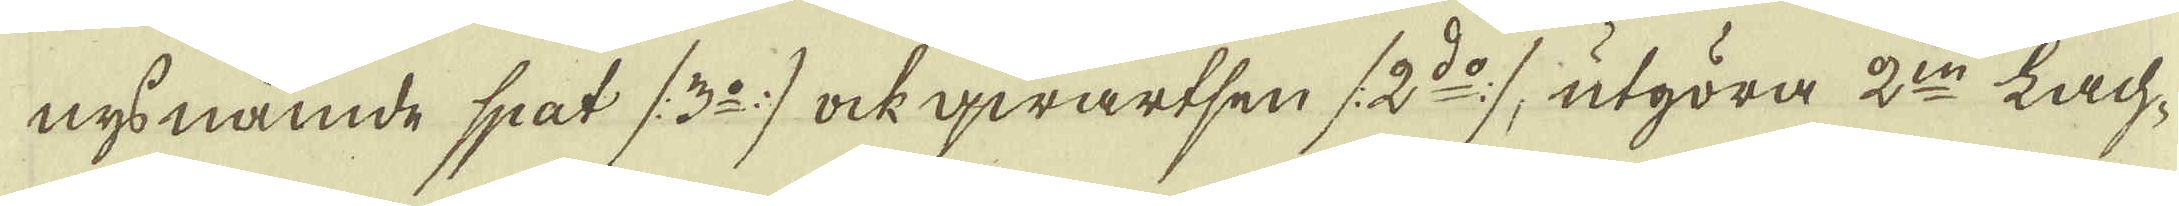nys nämde spat (3:o) ock qwartsen (2:do), utgöra 2:ne Lach-
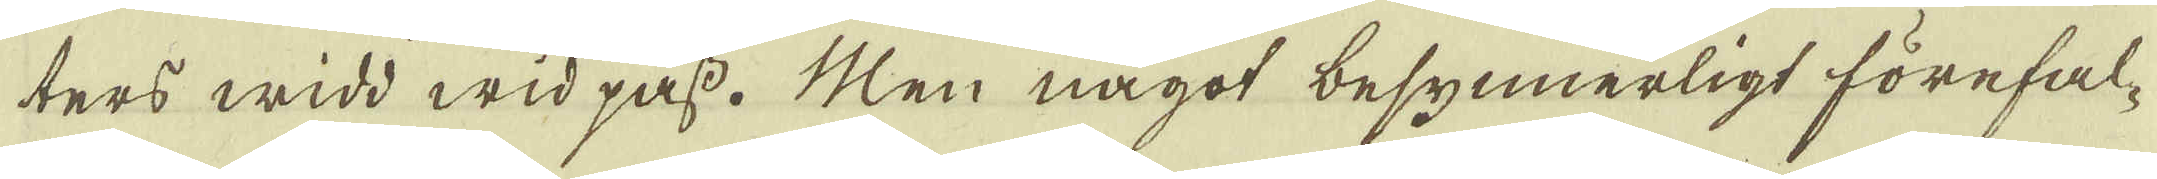ters widd wid pass. Men något besynnerligt förefal-
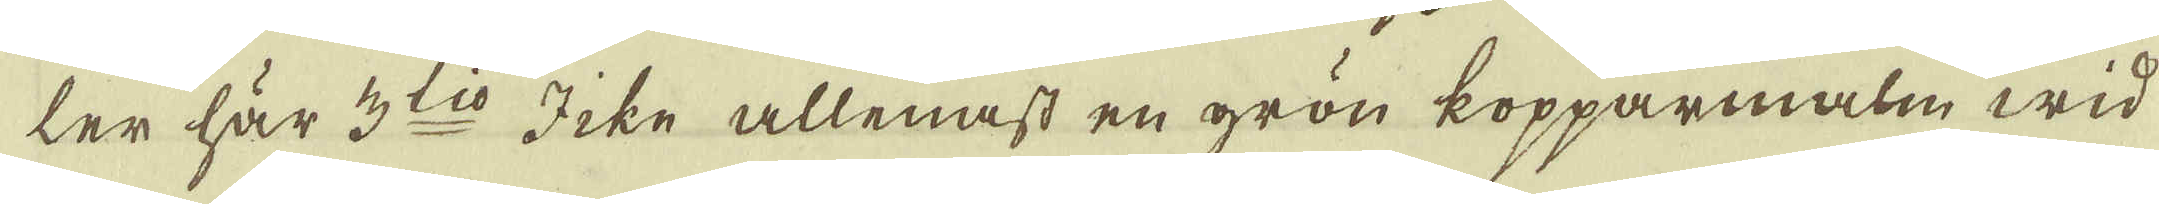ler här 3:tio Icke allenast en grön kopparmalm wid
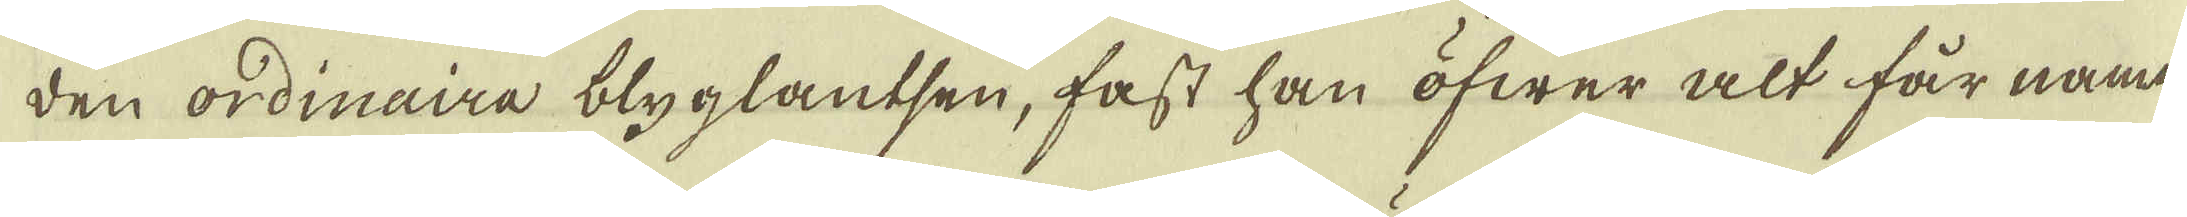den ordinaira blyglantsen, fast han öfwer alt får namn
